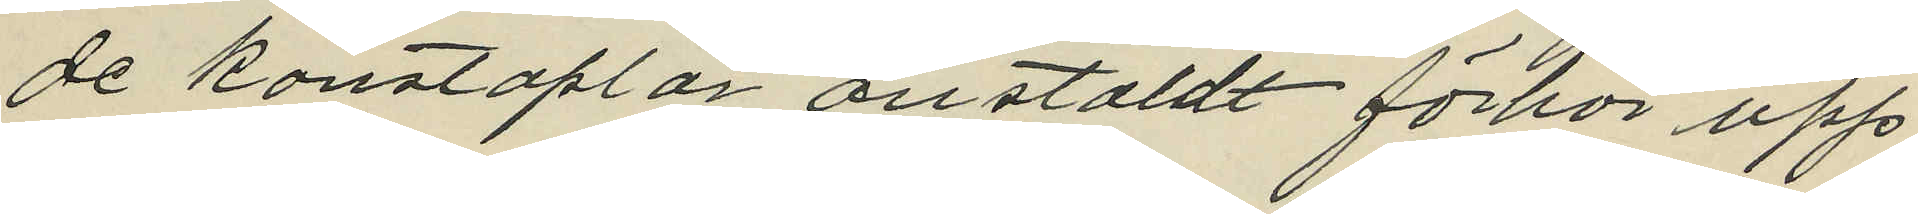de konstaplar anstäldt förhör upp¬
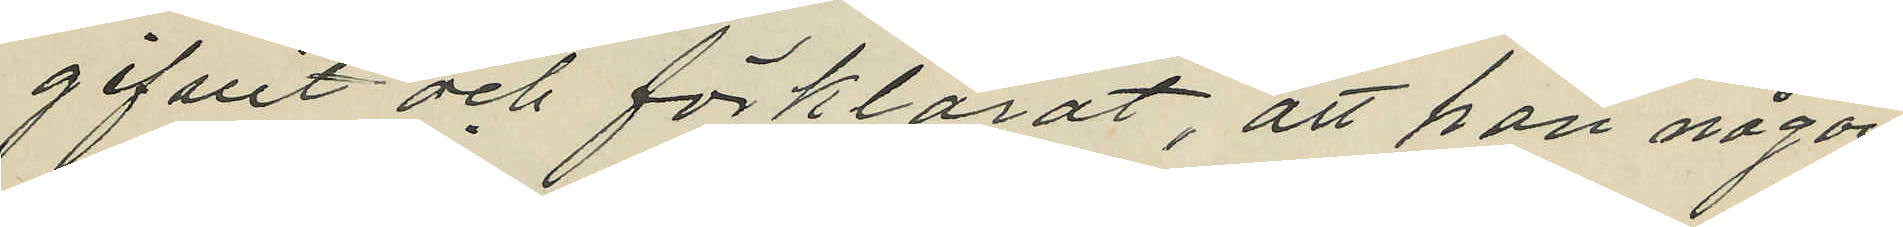gifvit och förklarat, att han någon
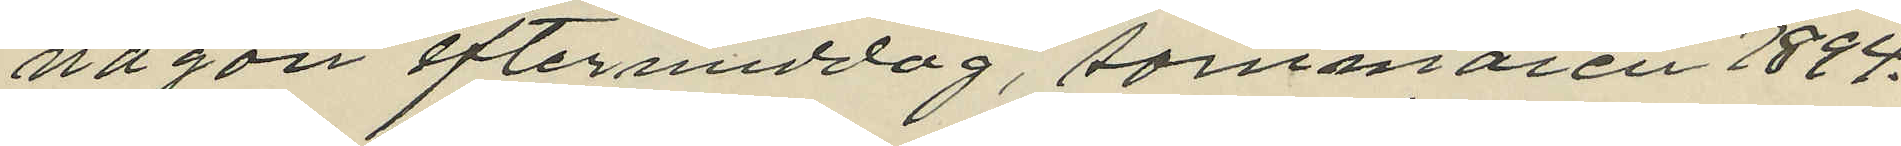någon eftermiddag, sommaren 1894.
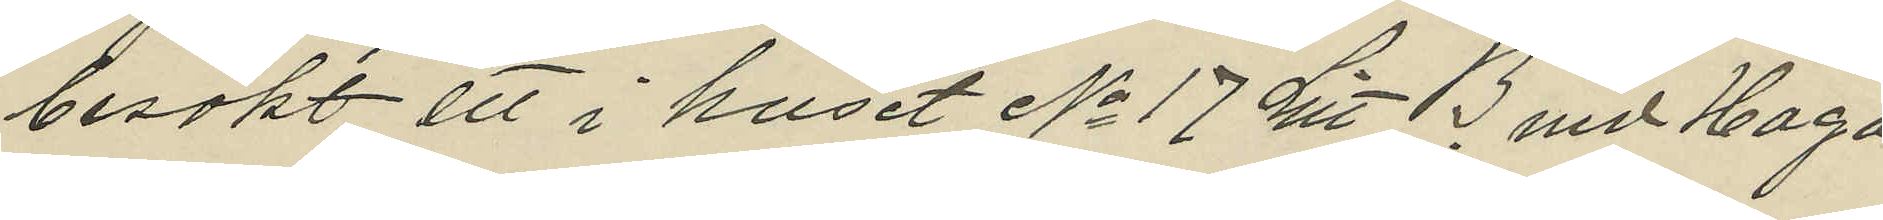besökt ett i huset No 17 Litt B. vid Haga
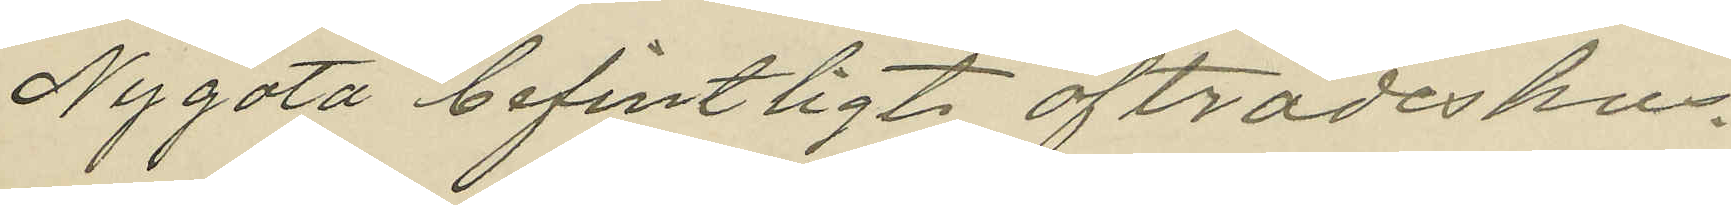Nygata befintligt afträdeshus.
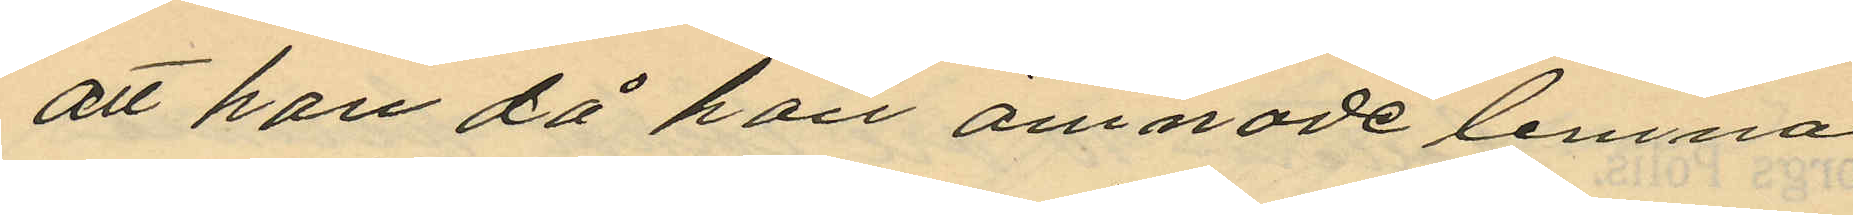att han då han ämnade lemna
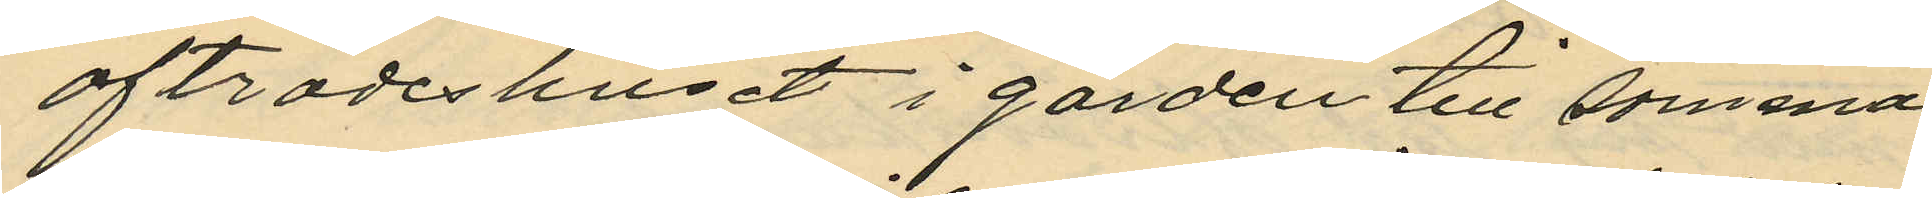afträdeshuset i gården till samma
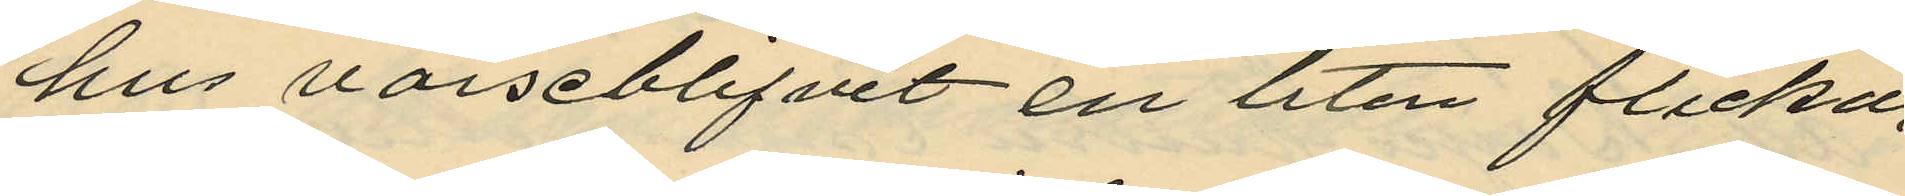hus varseblifvit en liten flicka,
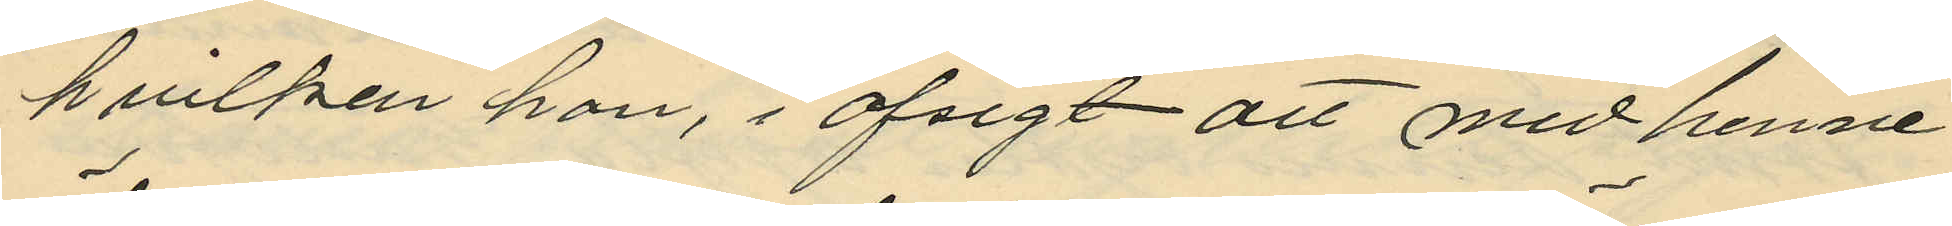hvilken han, i afsigt att med henne
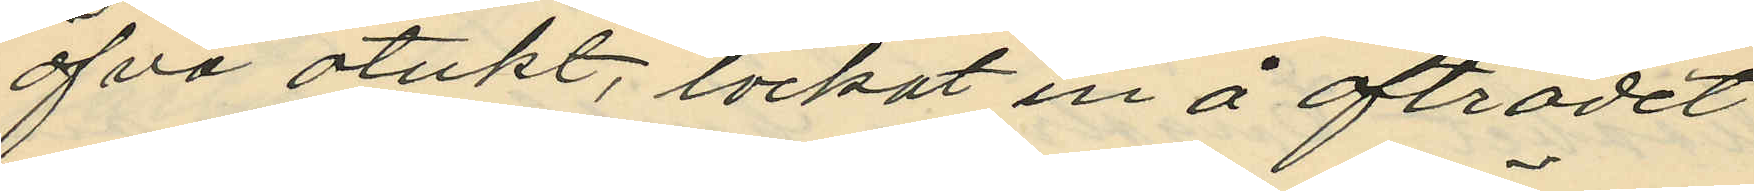öfva otukt, lockat in å afträdet
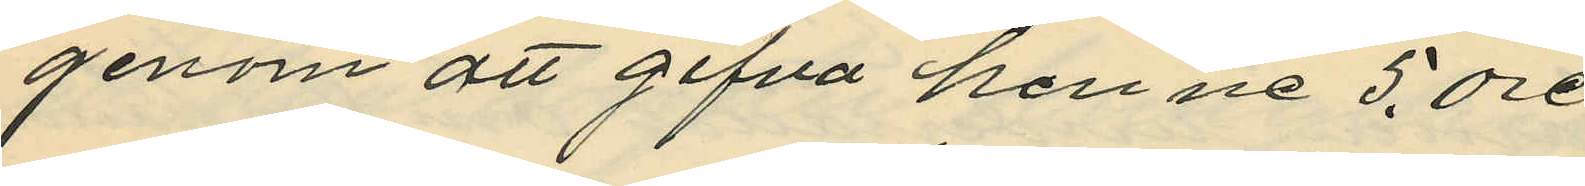genom att gifva henne 5. öre,
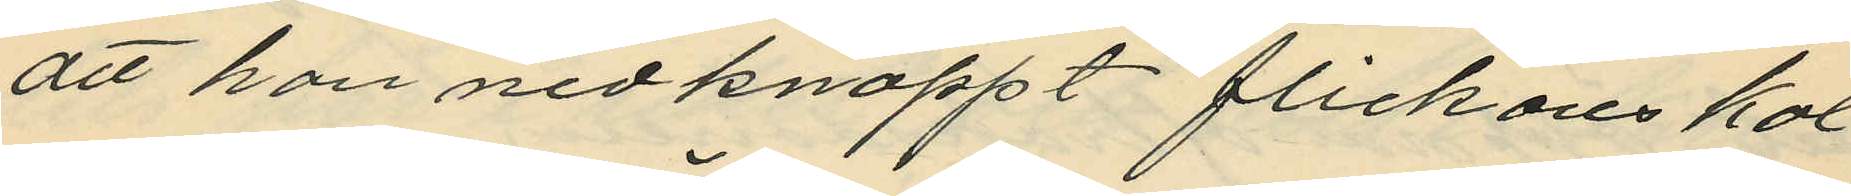att han nedknäppt flickans kal
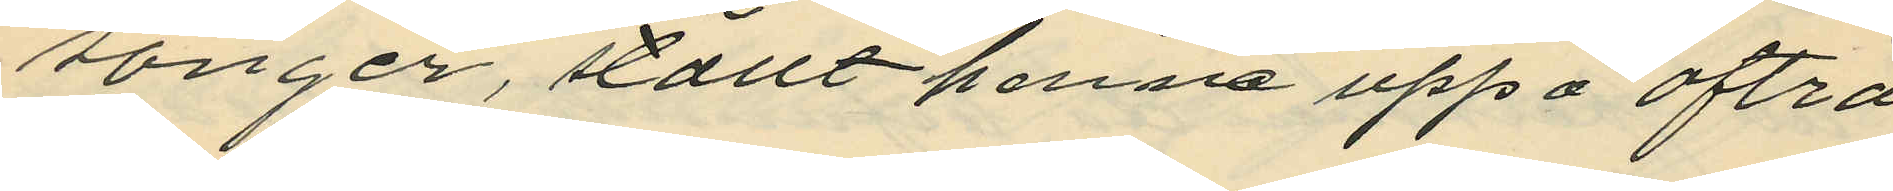songer, ställt henne uppå afträ
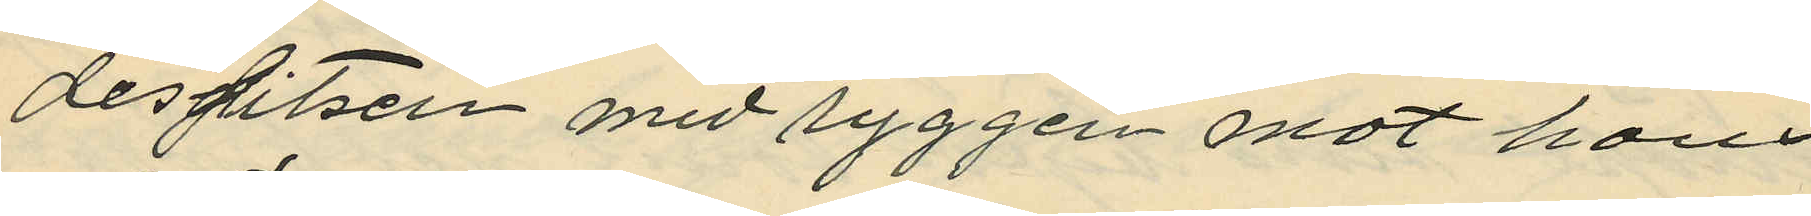dessitsen med ryggen mot hans
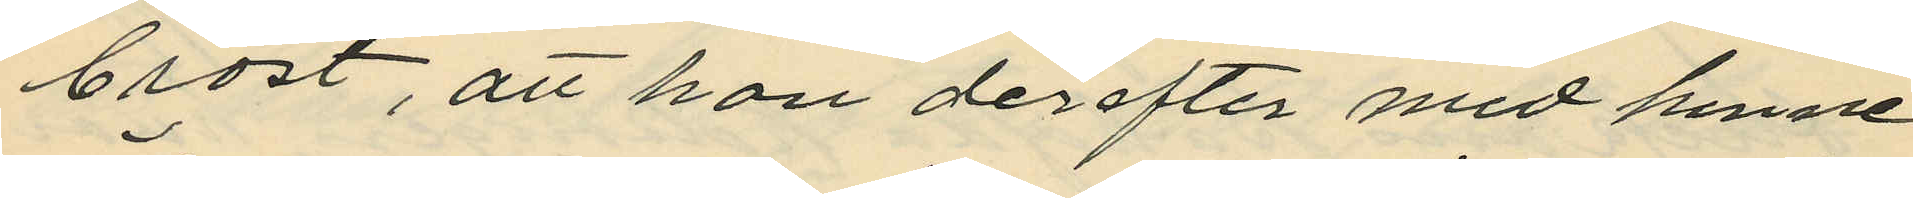bröst, att han derefter med henne
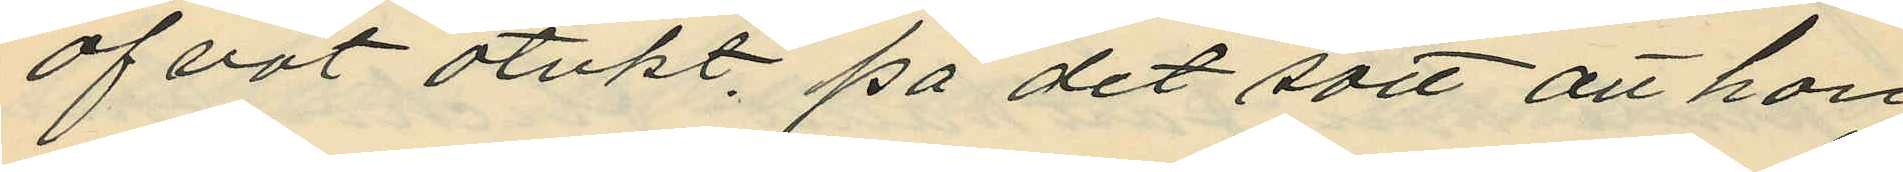öfvat otukt. på det sätt att han
